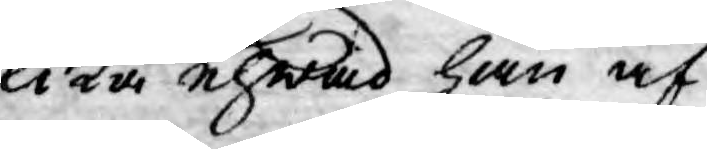lika ehwad han af
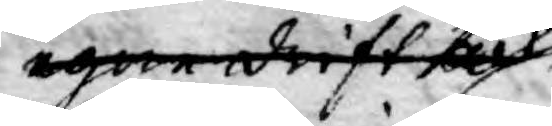egen drift och
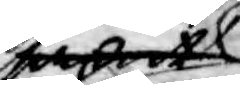samt
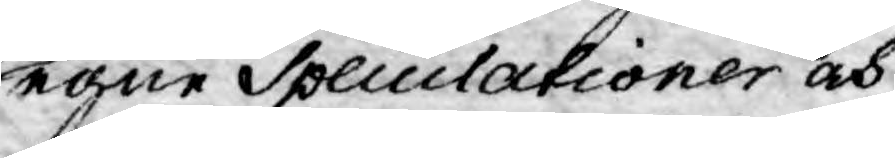egne Speculationer och
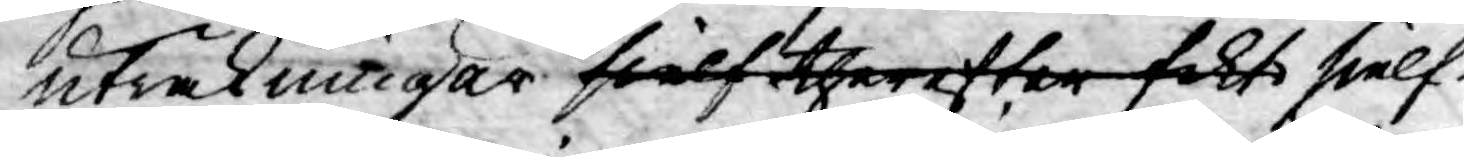uträkningar sielf therefter fakt sielf¬
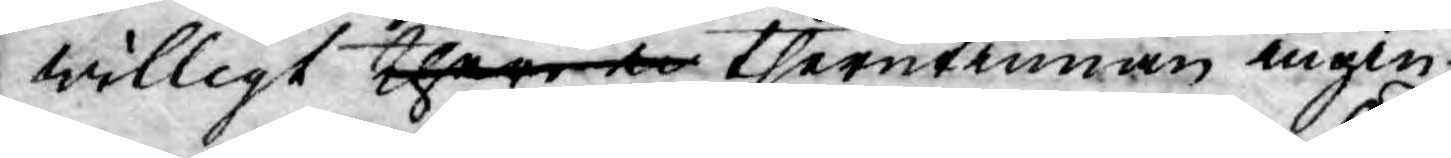willigt theri en therutinnan ingin¬
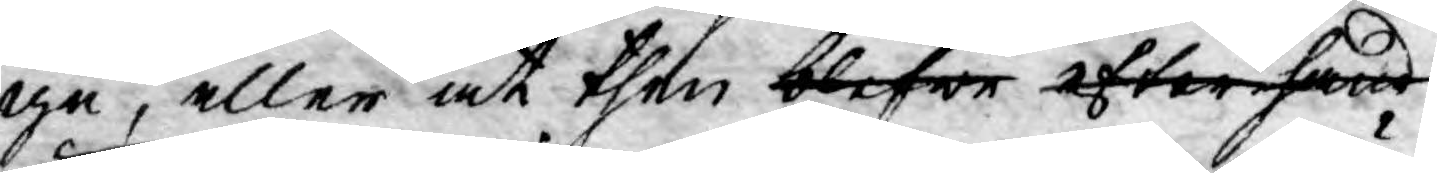ge, eller at then blefwe efterhand
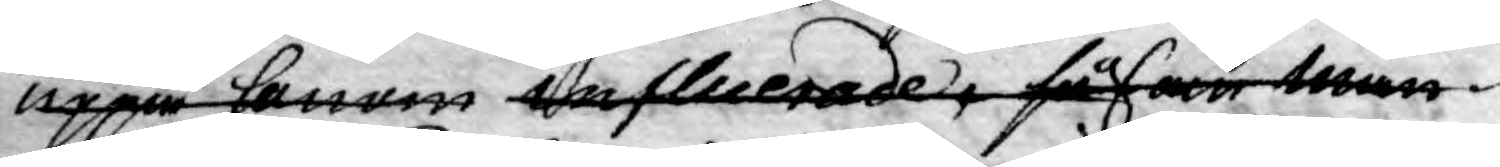uppå honom influerade, sådan män¬
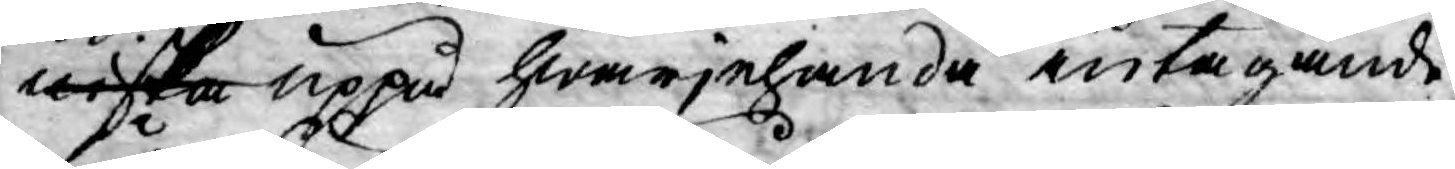niska uppå hwarjehanda intagande
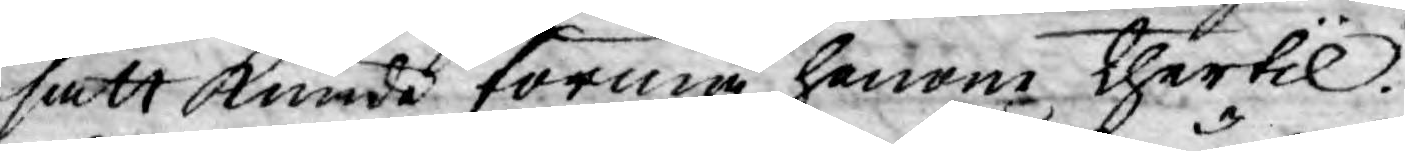sätt kunde förmå honom thertil.
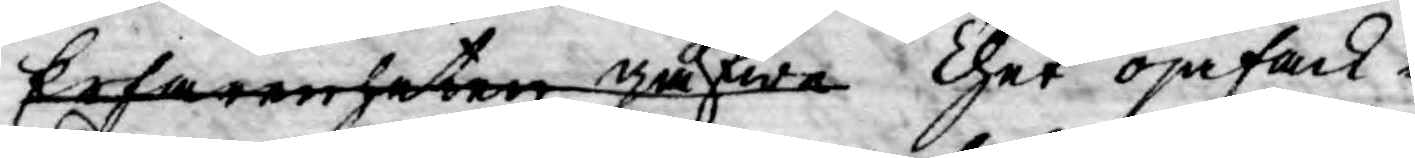Erfarenheten gåfwe Thet ojäfack¬
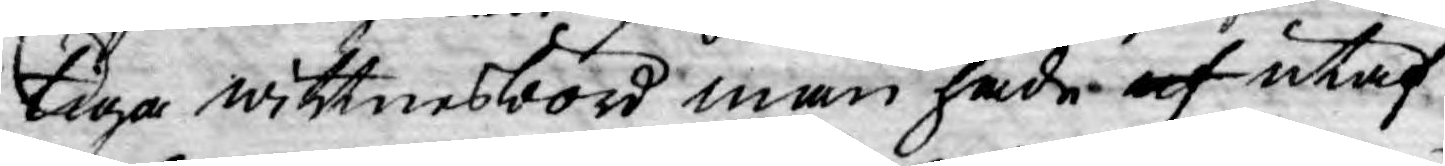tiga wittnesbörd man hade af utaf
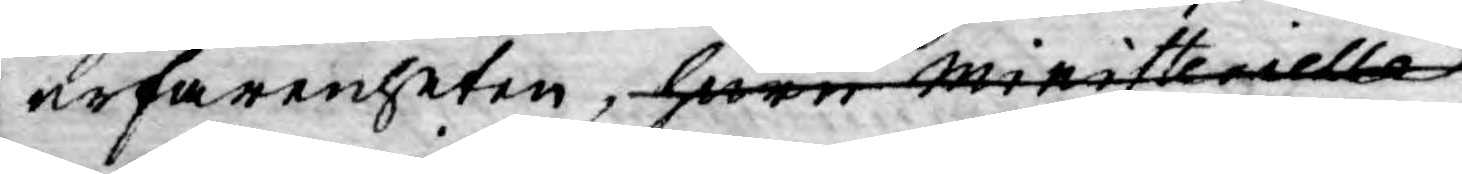erfarenheten, huru ministeriella
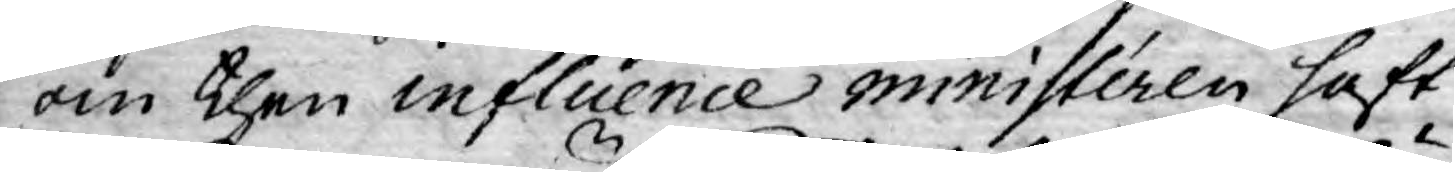om then influence ministéren haft
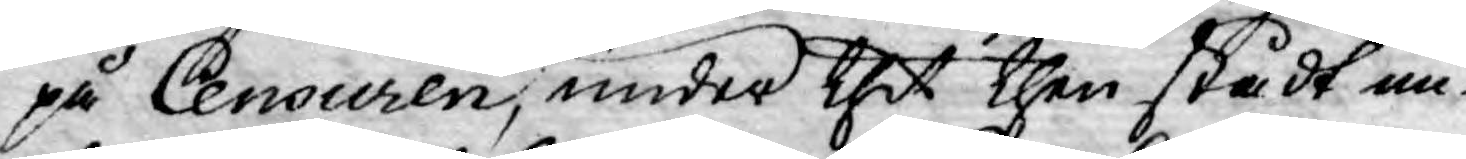på Censuren, under thet then stådt un¬
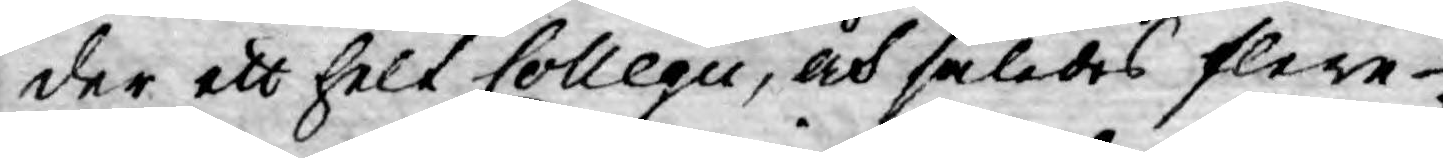der ett helt Collegii, och således flere
